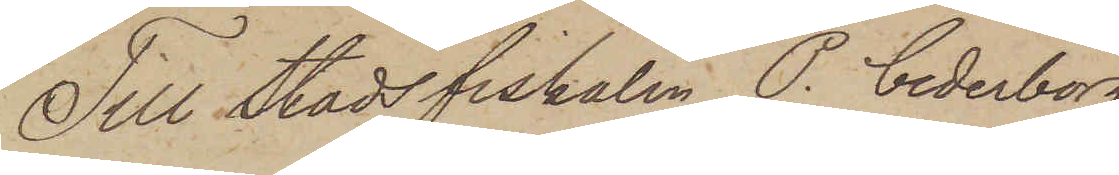Till Stadsfiskalen P. Cederborg
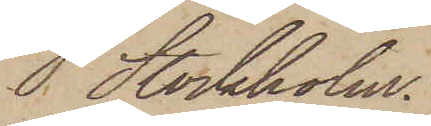Stockholm.
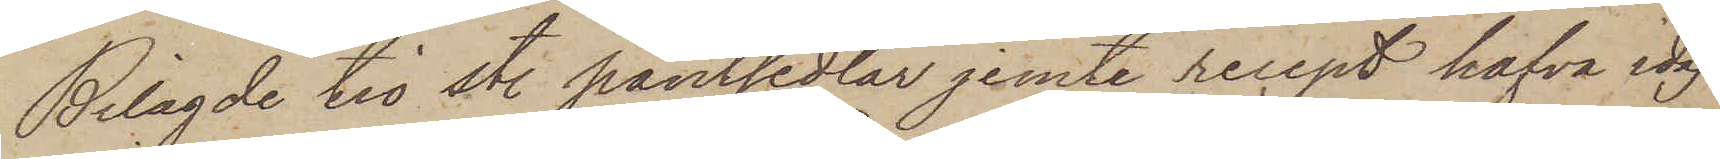Bilagde tio st. pantsedlar jemte recept hafva idag
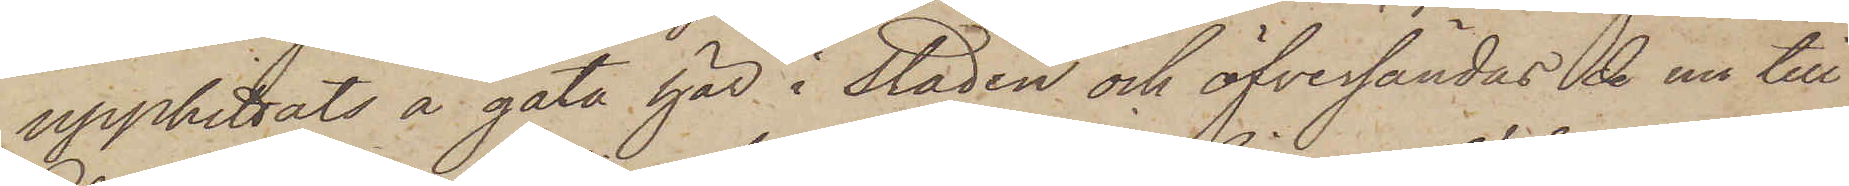upphittats å gata här i staden och öfversändas de nu till
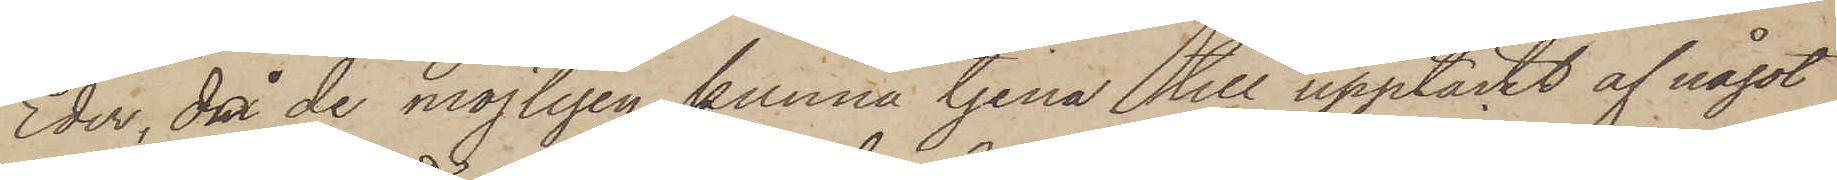Eder, då de möjligen kunna tjena till upptäckt af något
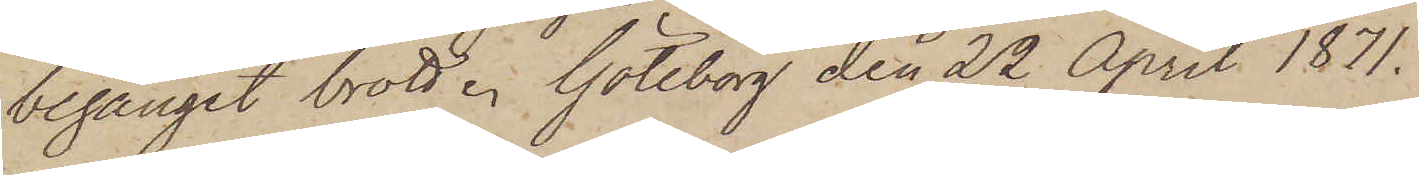begånget brott. Göteborg den 22 April 1871.
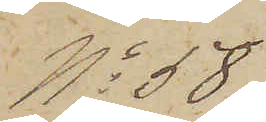No 58
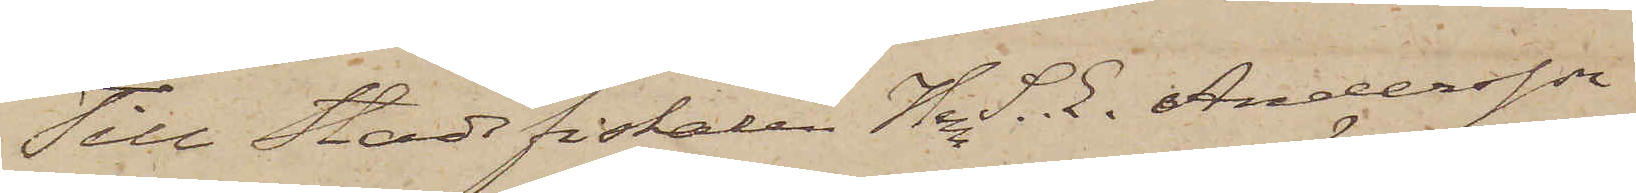Till Stadsfiskalen Herr S. E. Andersson
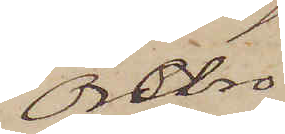Örebro.
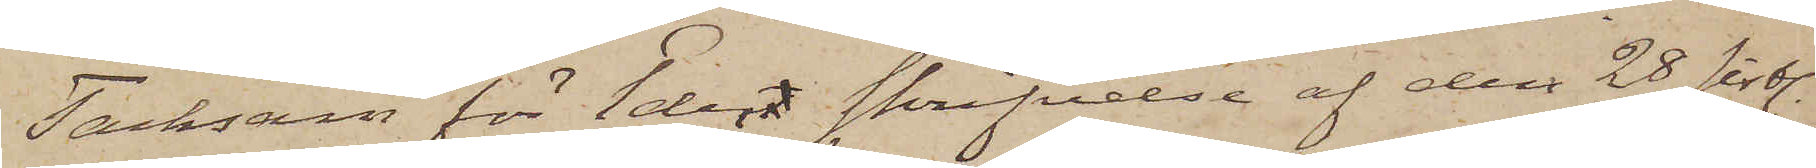Tacksam för Eder skrifvelse af den 28 sistl.
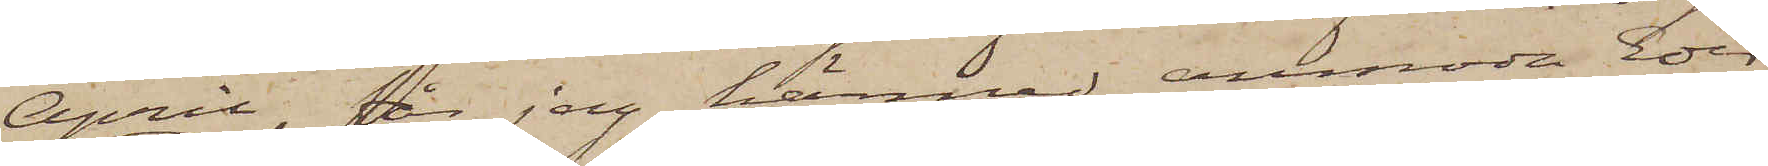April, får jag härmed anmoda Eder
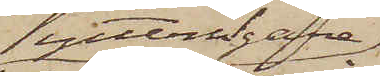ytterligare
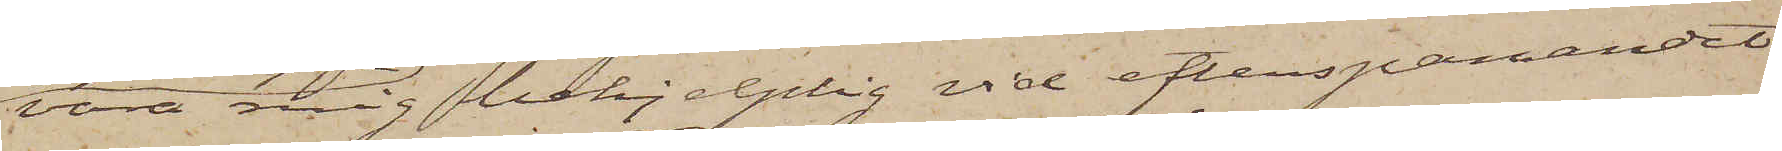vara mig behjelplig vid efterspanandet
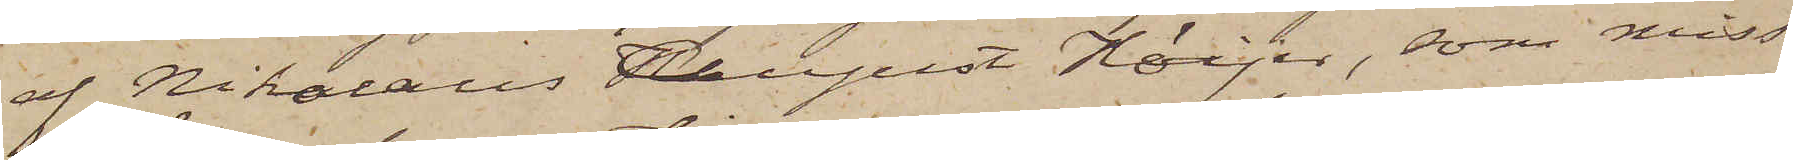af Nikolaus August Höijer, som miss¬
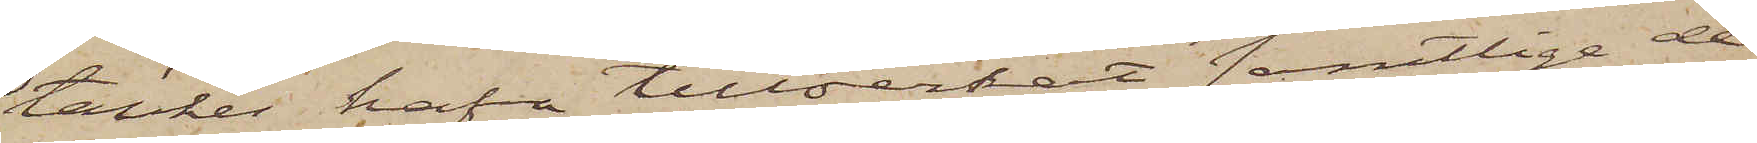tänkes hafva tillverkat samtlige de
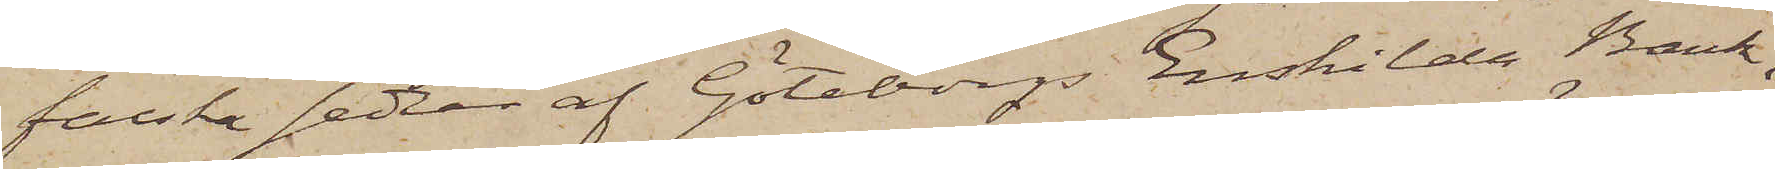falska sedlar af Göteborgs Enskilda Bank,
